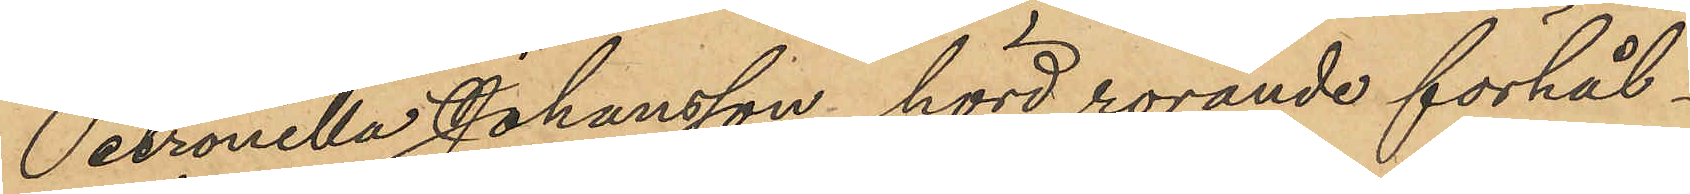Petronella Johansson, hörd rörande förhål¬
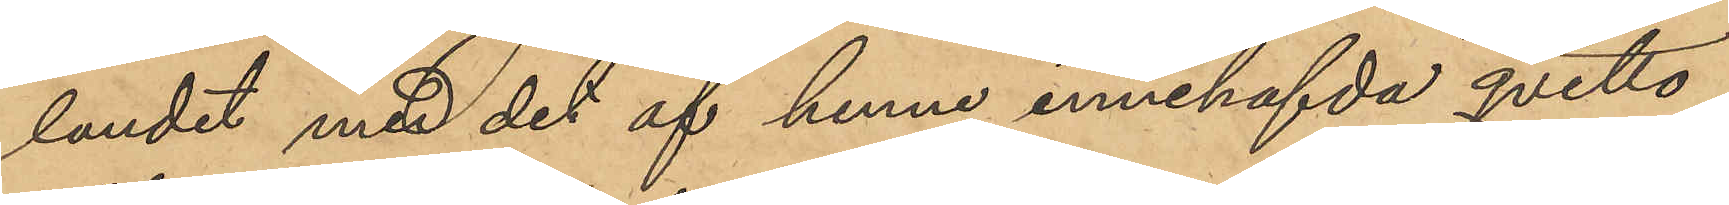landet med det af henne innehafvda qvitto,
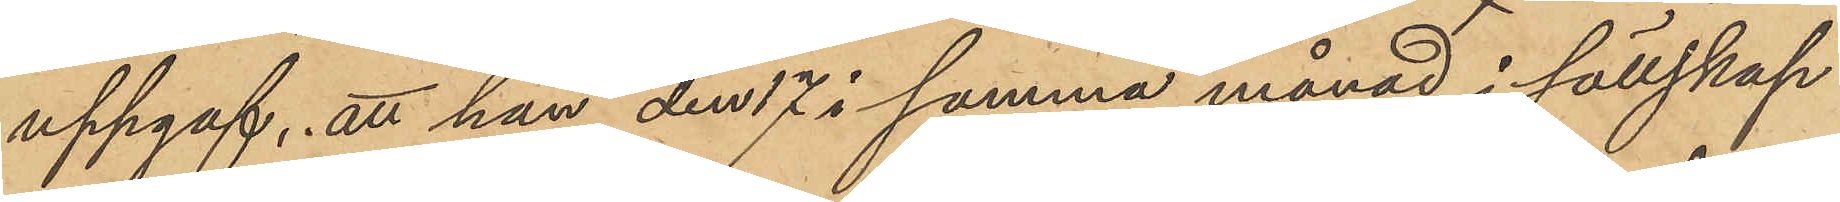uppgaf, att hon den 17 i samma månad i sällskap
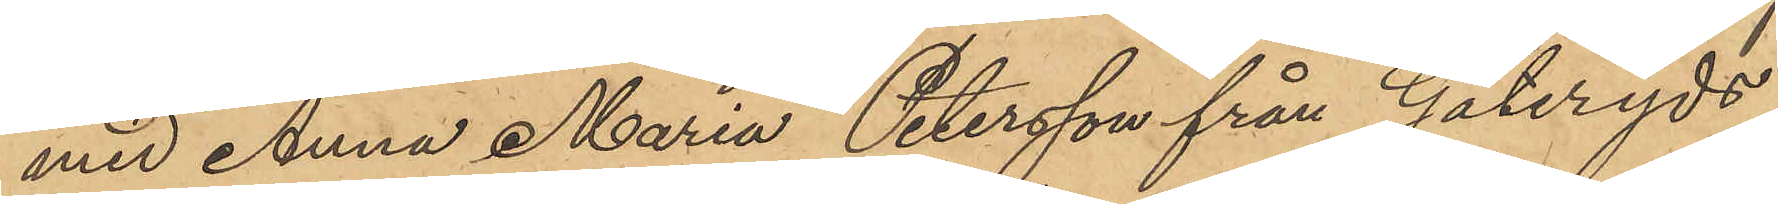med Anna Maria Petersson från Göteryds
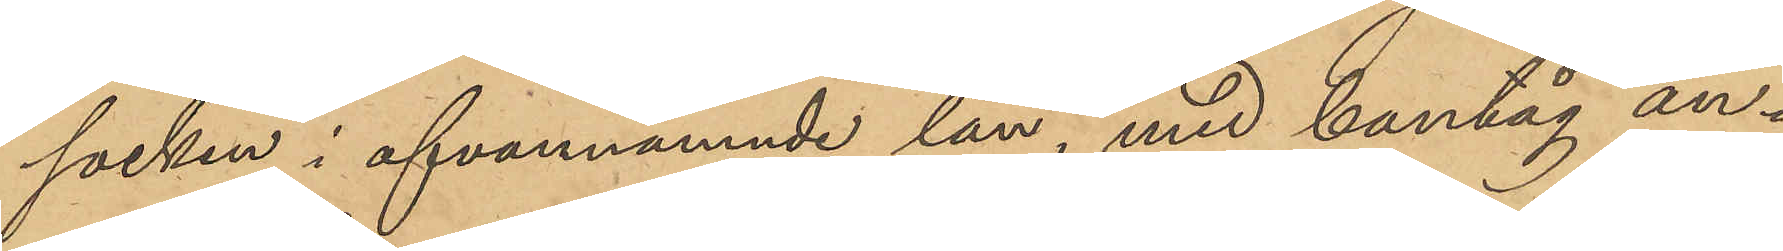socken i ofvannämnde län, med bantåg an¬
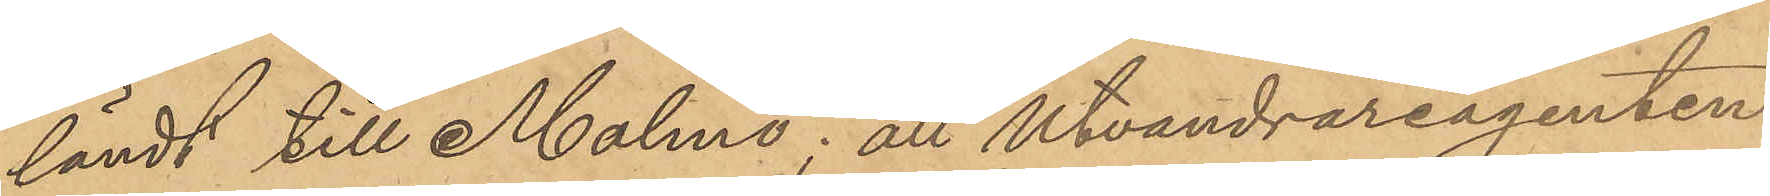ländt till Malmö; att Utvandrareagenten
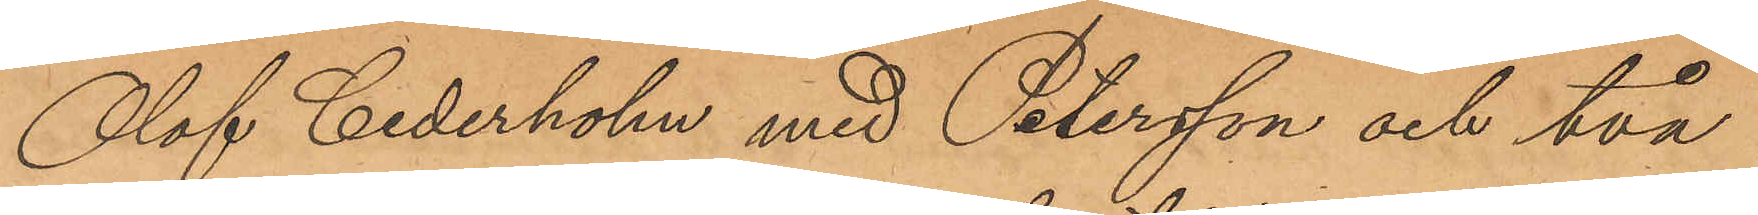Olof Cederholm med Petersson och två
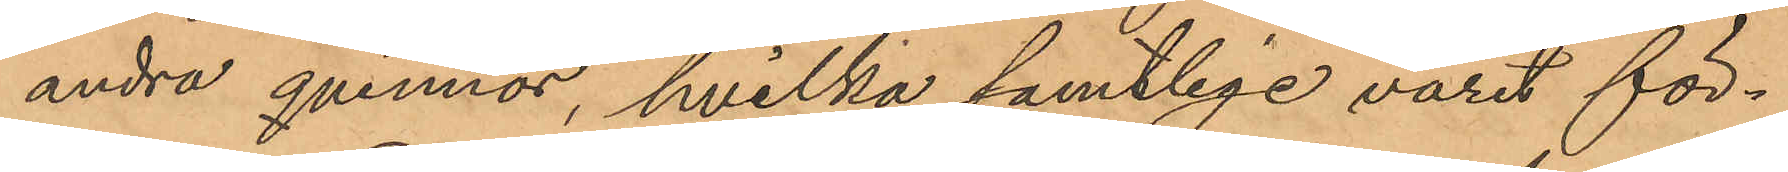andra qvinnor, hvilka samtlige varit för¬
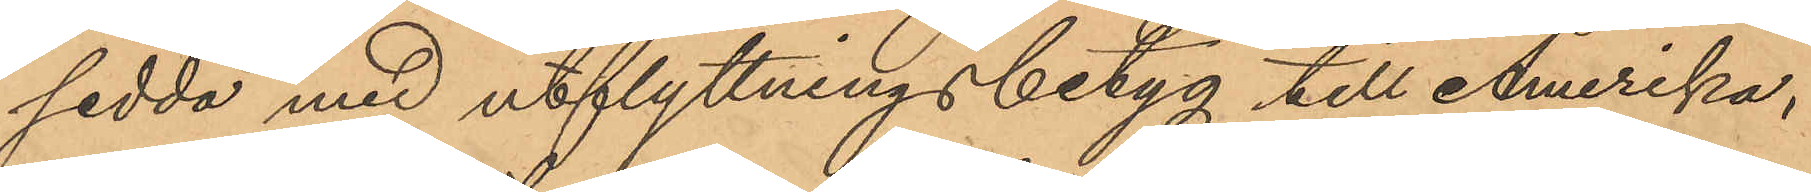sedda med utflyttningsbetyg till Amerika,
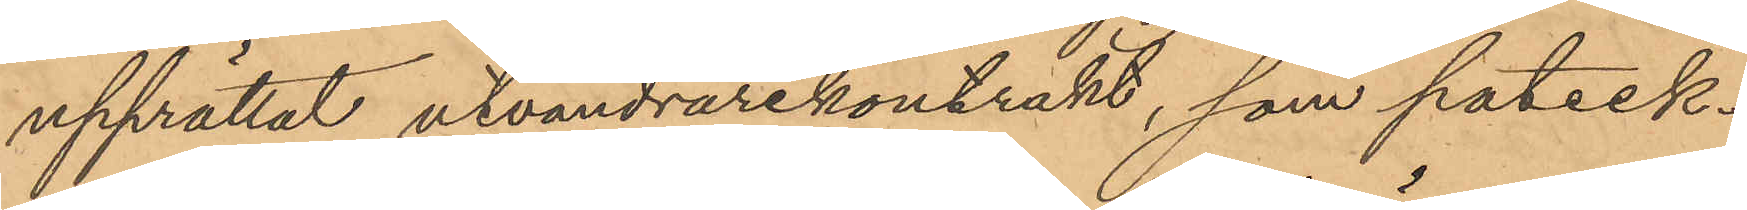upprättat utvandrarekontrakt, som pateck¬
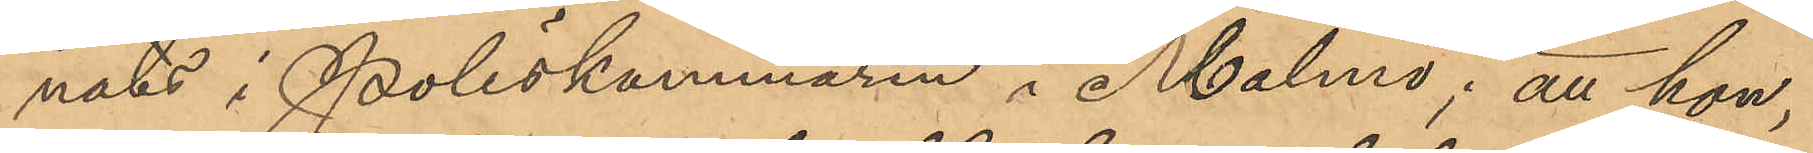nats i Poliskammaren i Malmö; att hon,
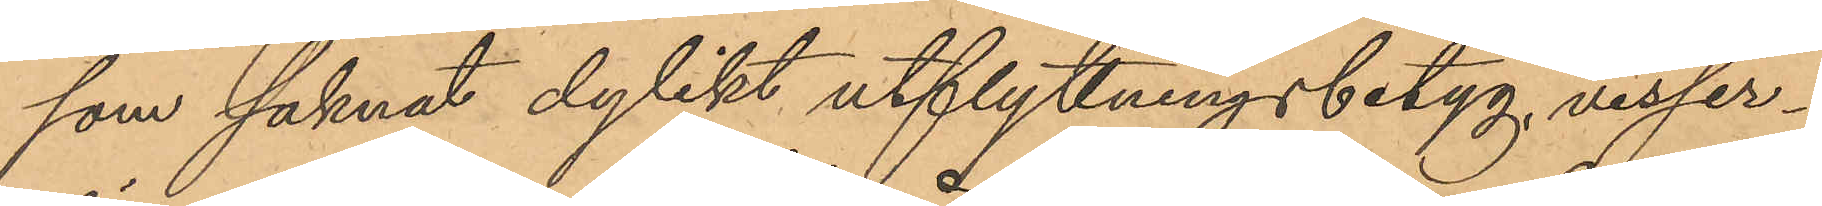som saknat dylikt utflyttningsbetyg visser¬
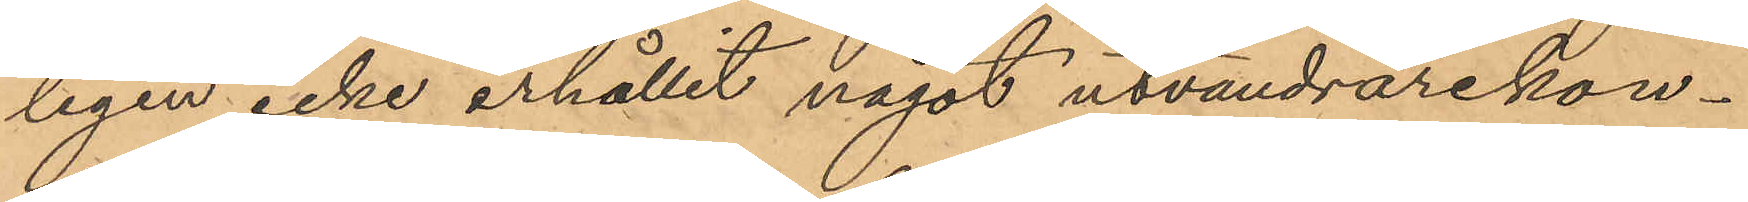ligen icke erhållit något utvandrarekon¬
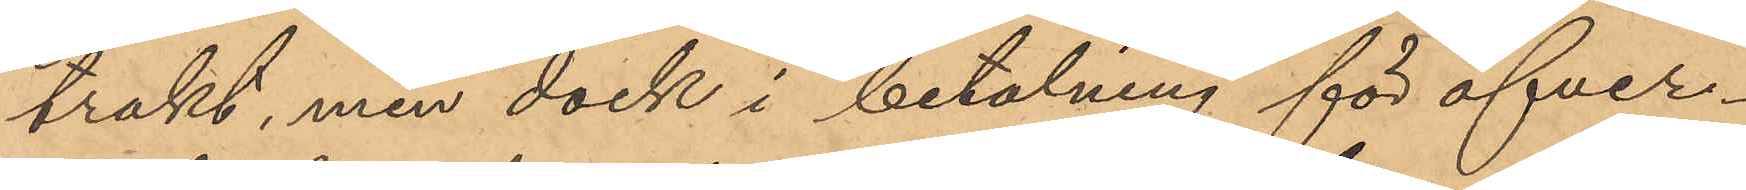trakt, men dock i betalning för öfver¬
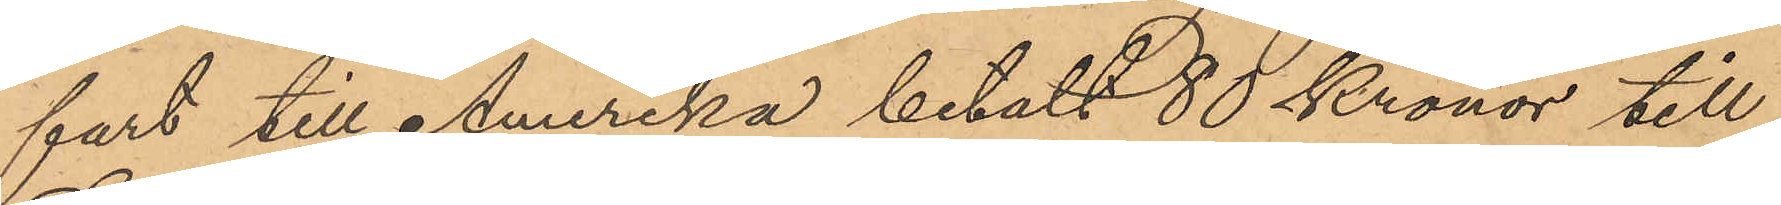fart till Amerika betalt 80 Kronor till
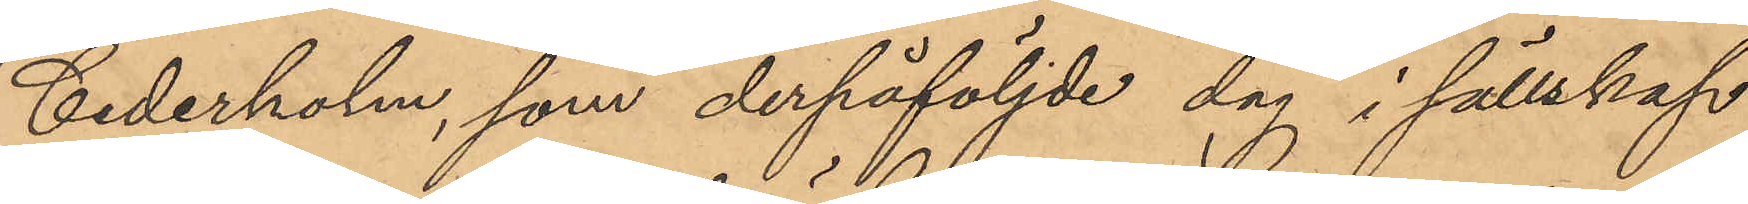Cederholm, som derpåföljde dag i sällskap
